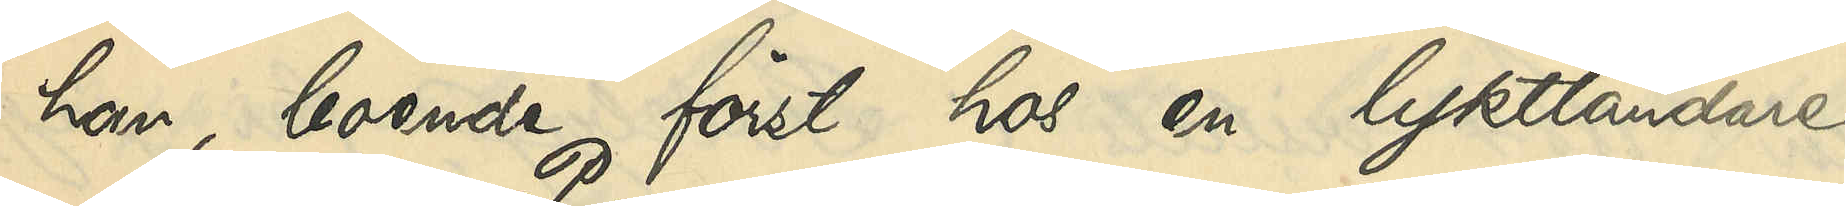han, boende först hos en lykttändare
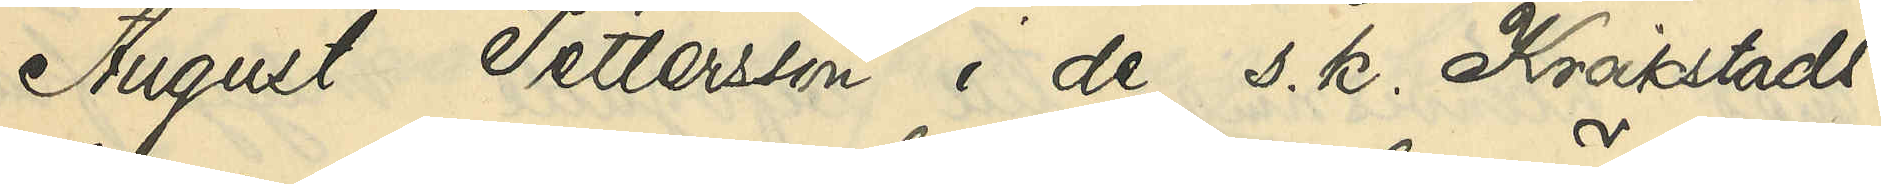August Pettersson i de s. k. Kråkstads¬
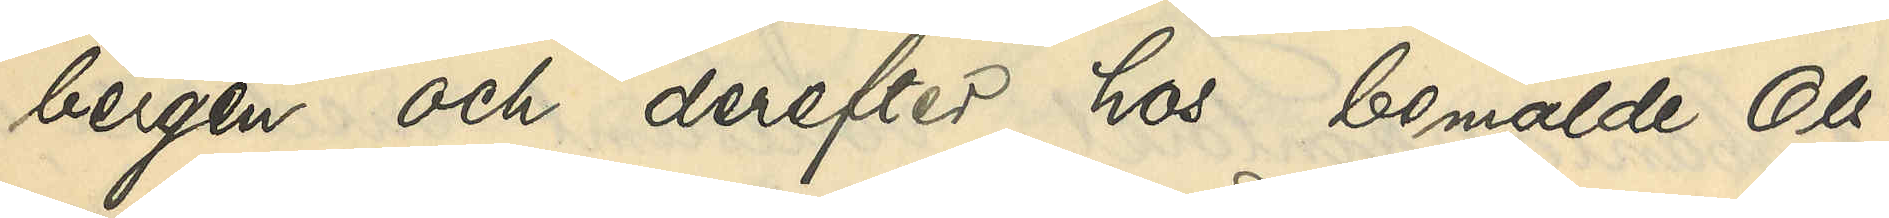bergen och derefter hos bemälde Ols¬
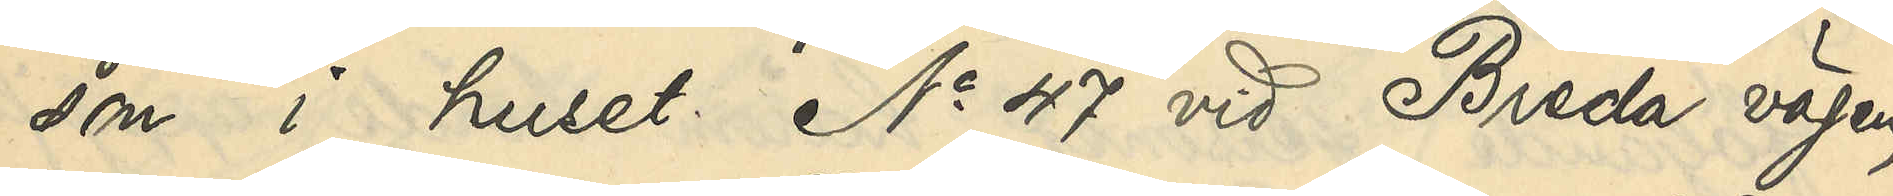son i huset No 47 vid Breda vägen,
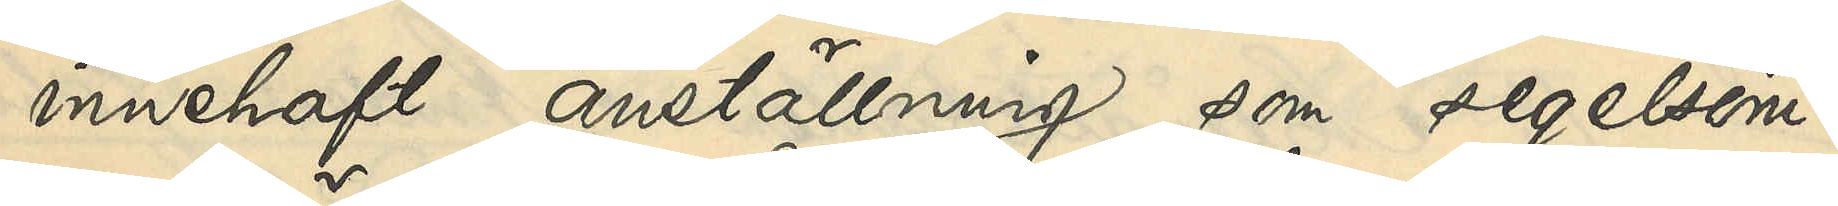innehaft anställning som segelsöm¬
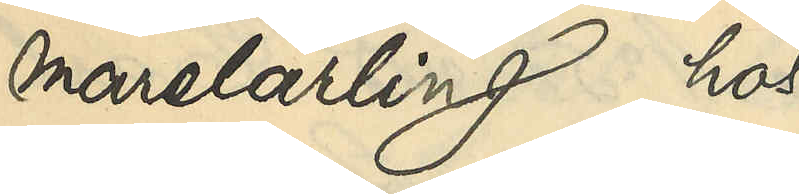marelärling hos
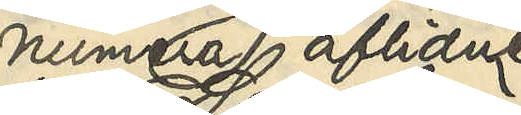numera aflidne
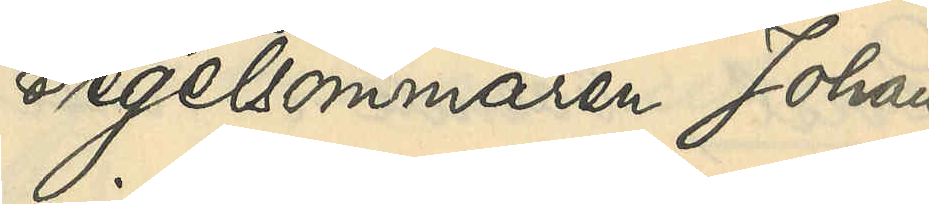Segelsömmaren Johan
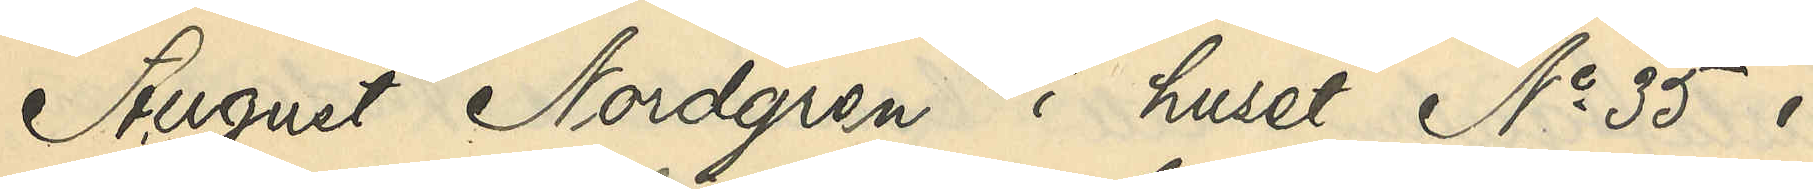August Nordgren i huset No 35 i
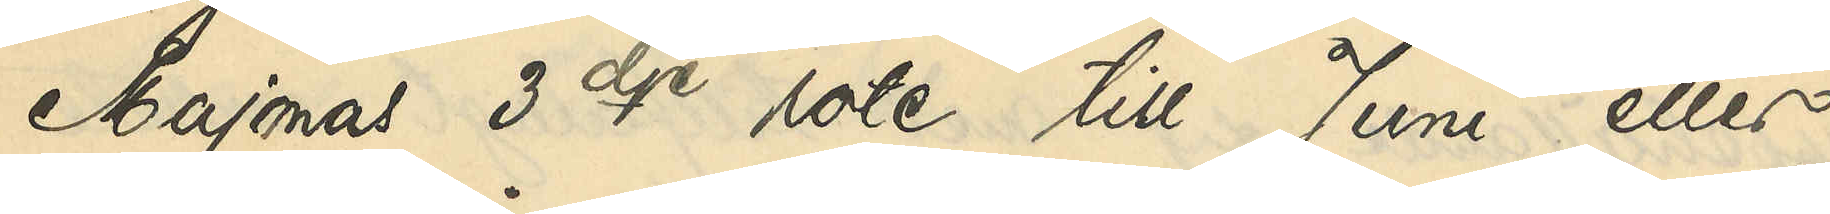Majornas 3dje rote till Juni eller
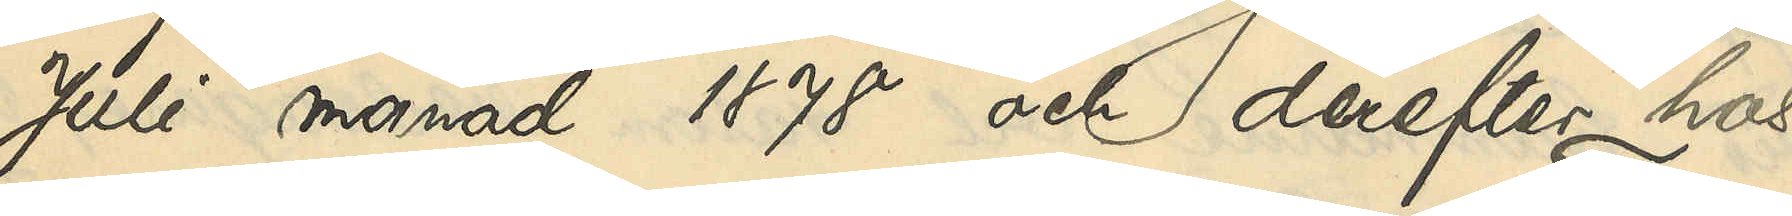Juli månad 1878 och derefter hos
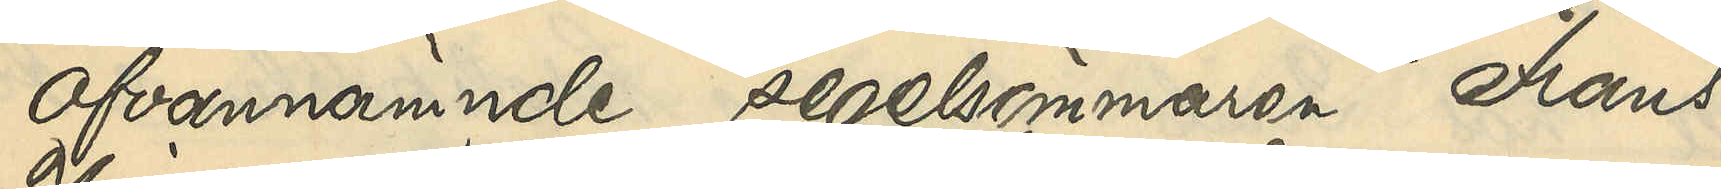ofvannämnde segelsömmaren Frans
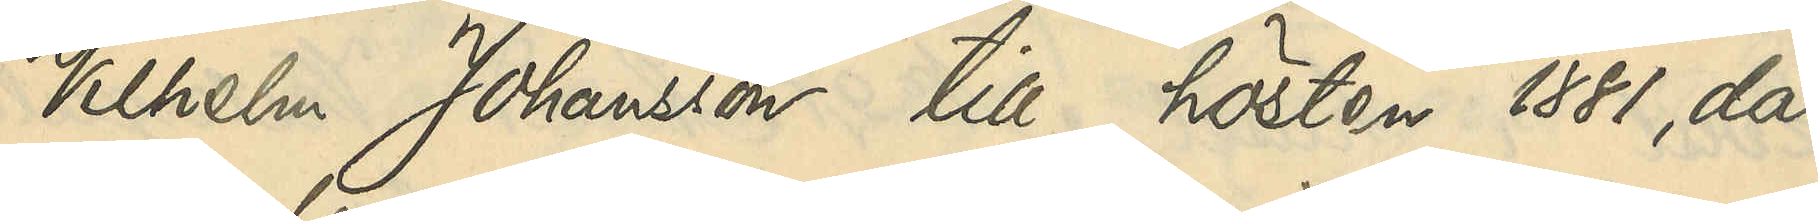Vilhelm Johansson till hösten 1881, då
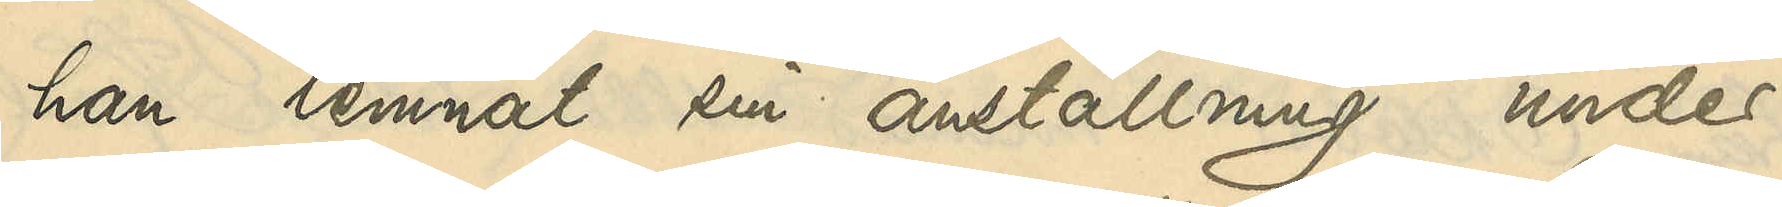han lemnat sin anställning under
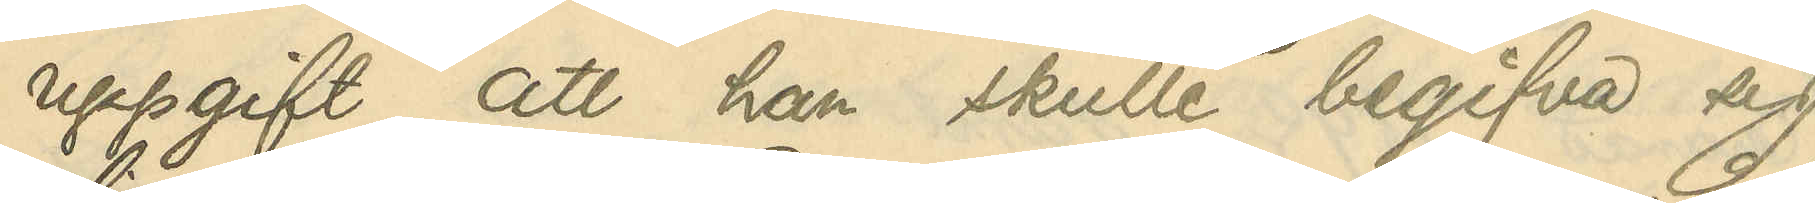uppgift att han skulle begifva sig
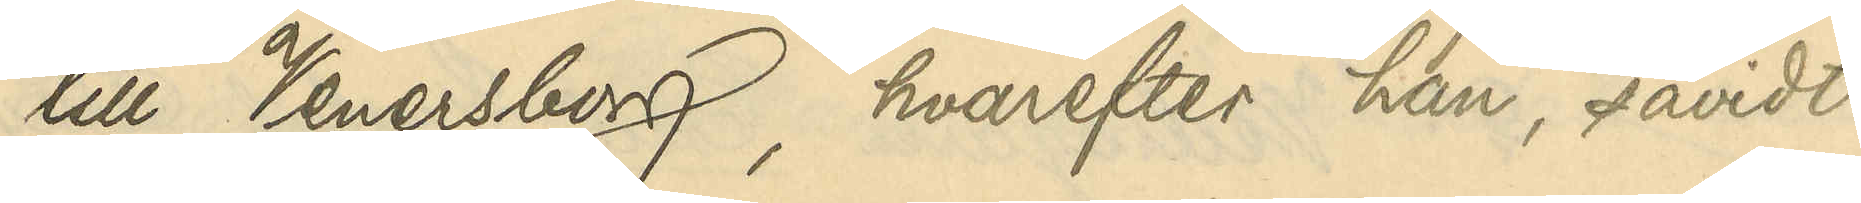till Venersborg, hvarefter han, såvidt
